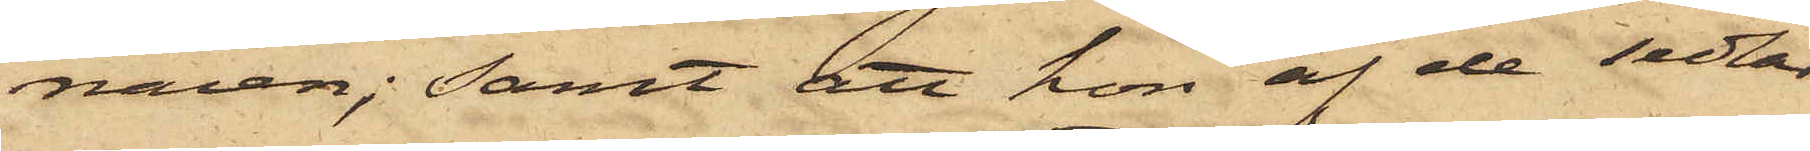naien; samt att hon af de sedlar
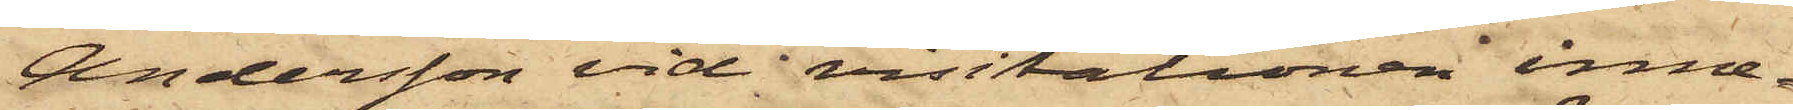Andersson vid visitationen inne¬
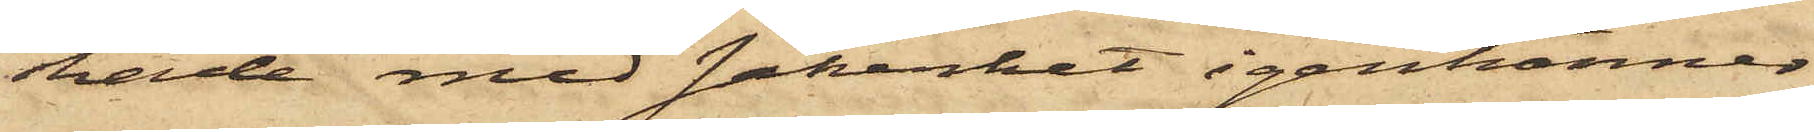hade med säkerhet igenkänner
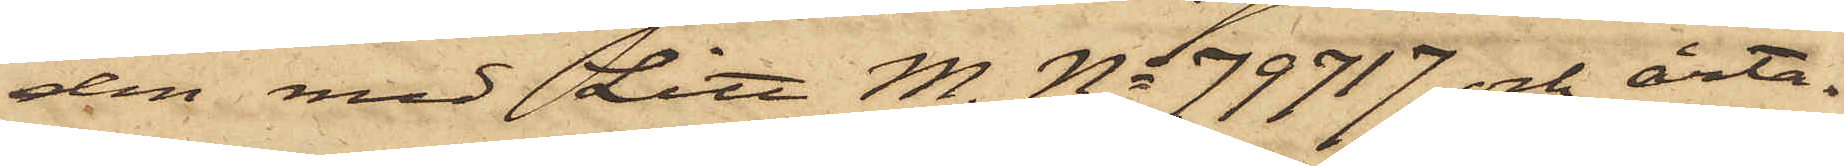den med Litt M. No 79717 och årta¬
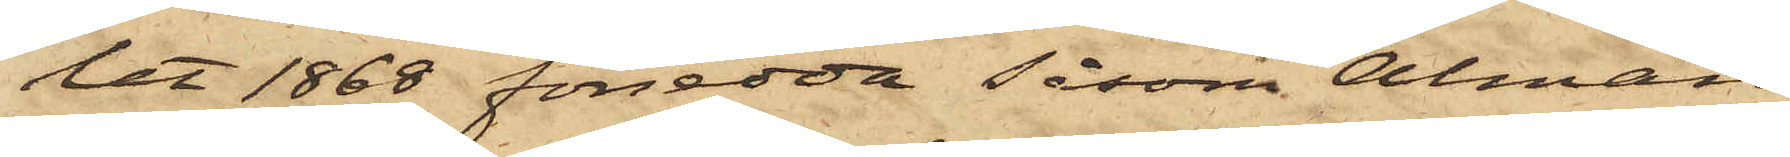let 1868 försedda såsom Alman
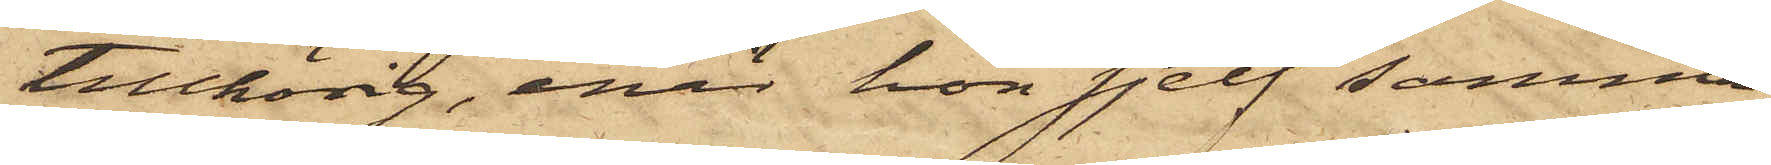tillhörig, enär hon sjelf samma
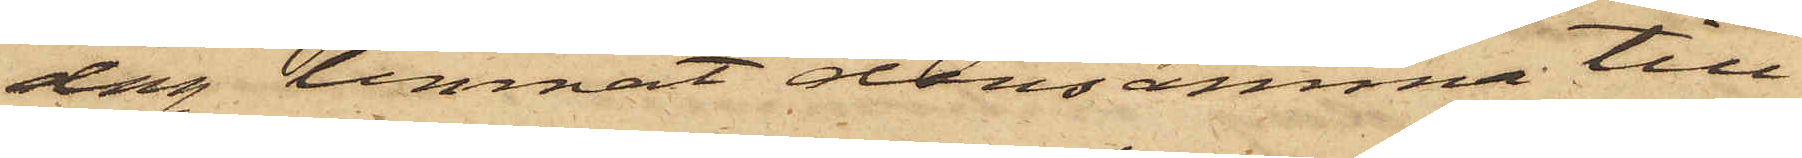dag lemnat densamma till
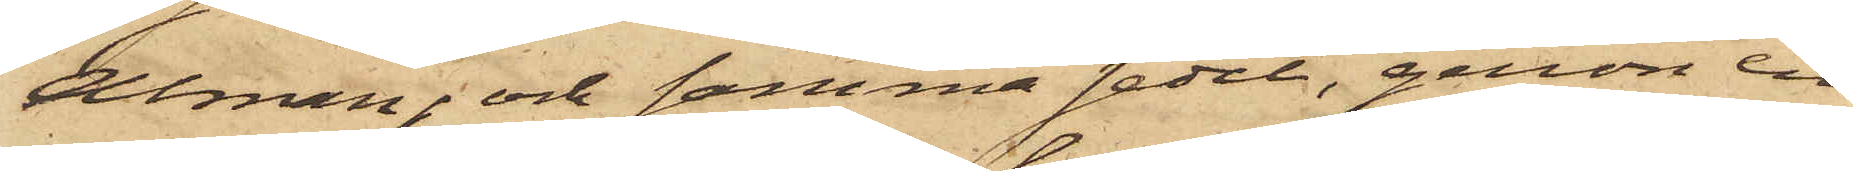Alman; och samma sedel, genom en
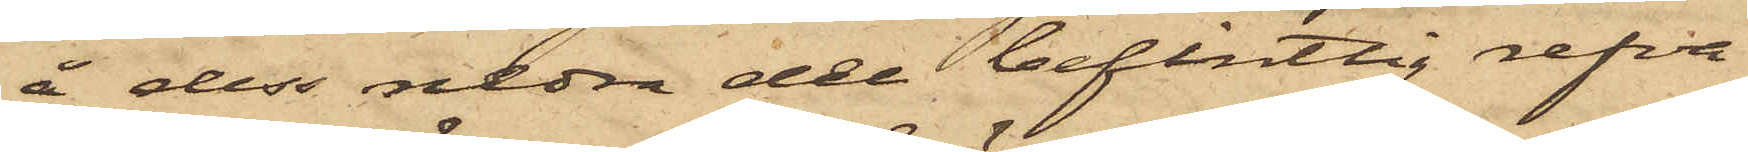å dess nedra del befintlig refva
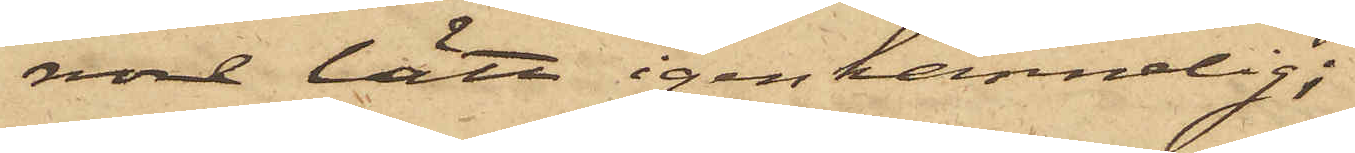vore lätt igenkännlig;
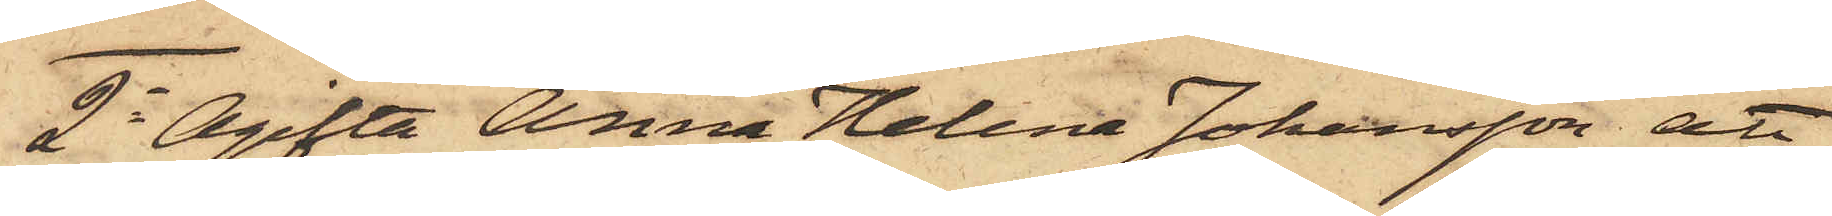2o Ogifta Anna Helena Johansson att
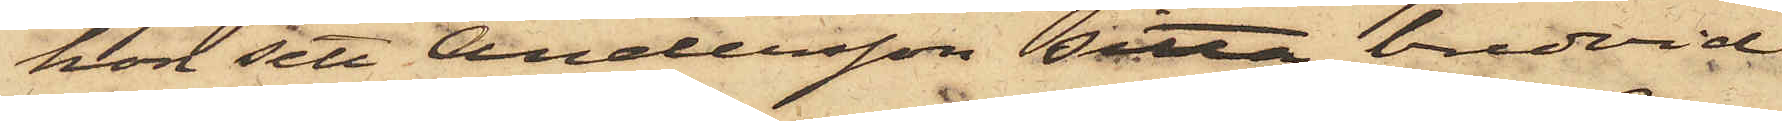hon sett Andersson sitta bredvid
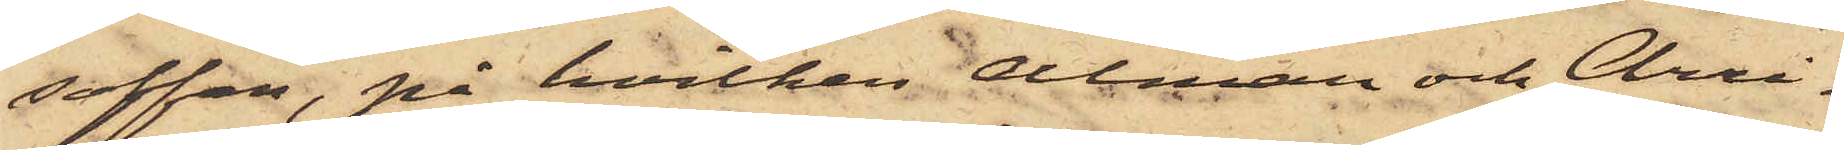soffan, på hvilken Alman och Chri¬
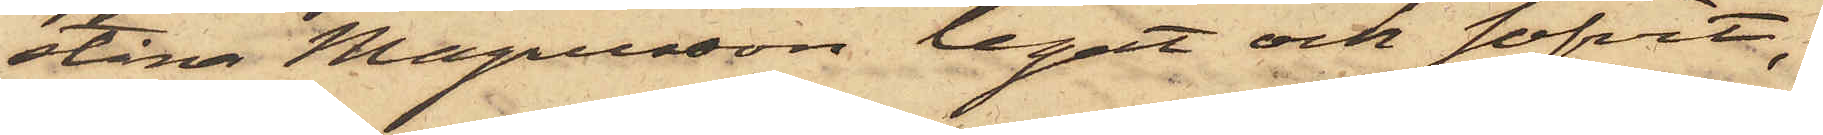stina Magnusson legat och sofvit;
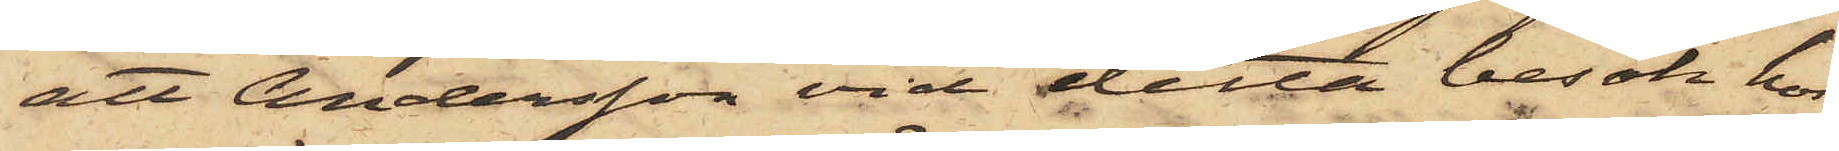att Andersson vid detta besök hos
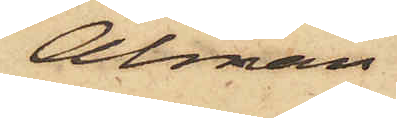Alman
